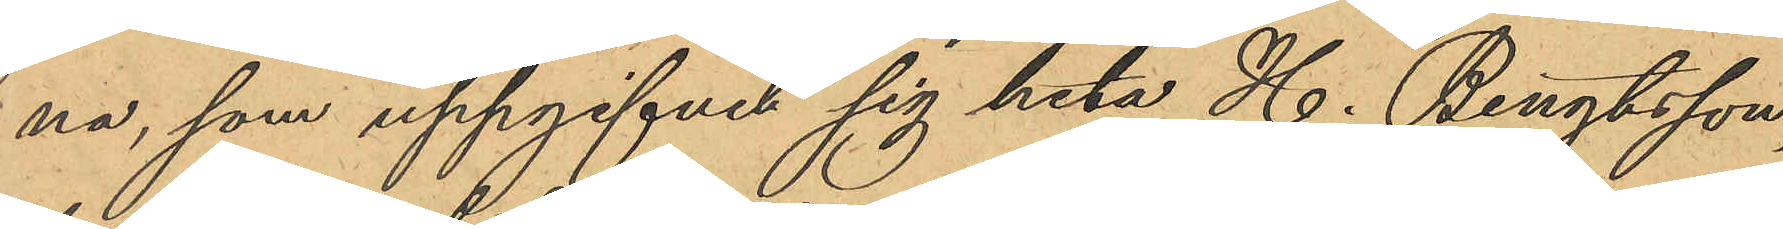na, som uppgifvit sig heta H. Bengtsson,
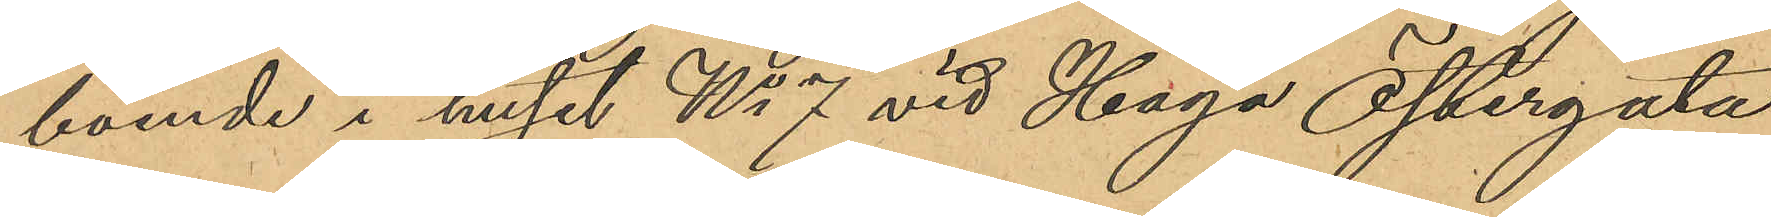boende i huset No 7 vid Haga Östergata
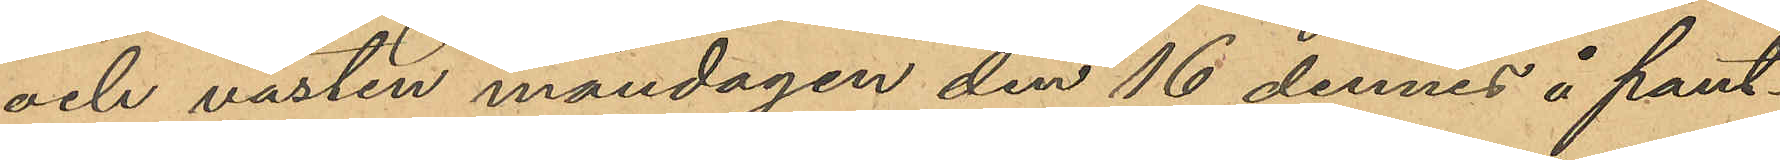och västen måndagen den 16 dennes å pant¬
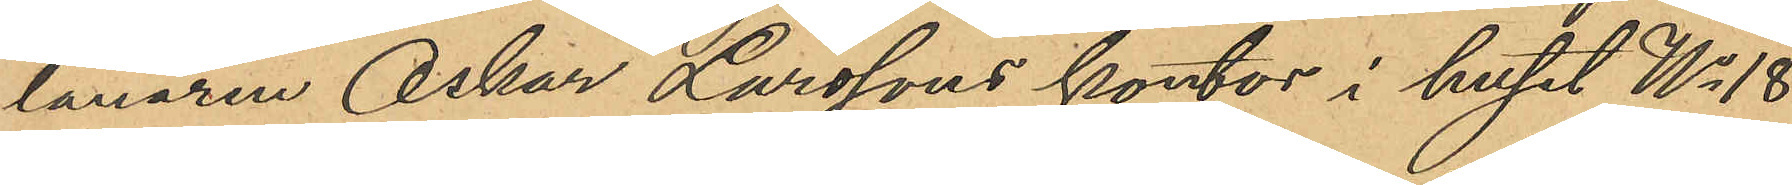lånaren Oskar Larssons kontor i huset No 18
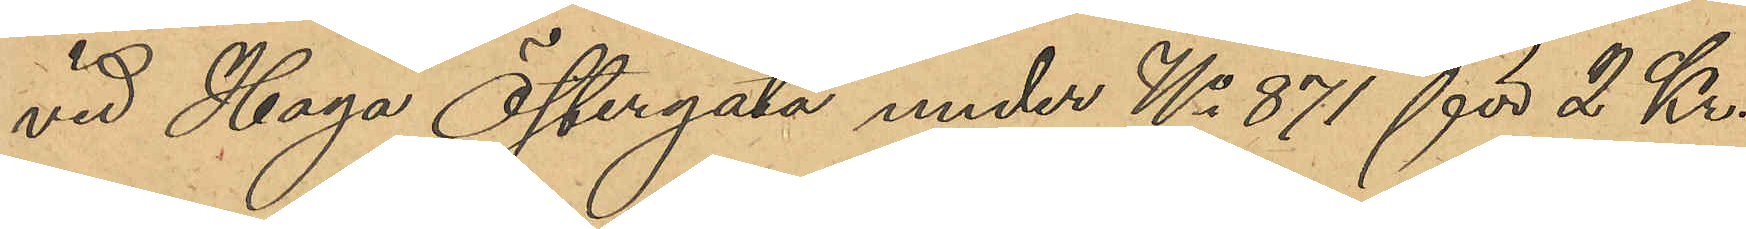vid Haga Östergata under No 871 för 2 kr.
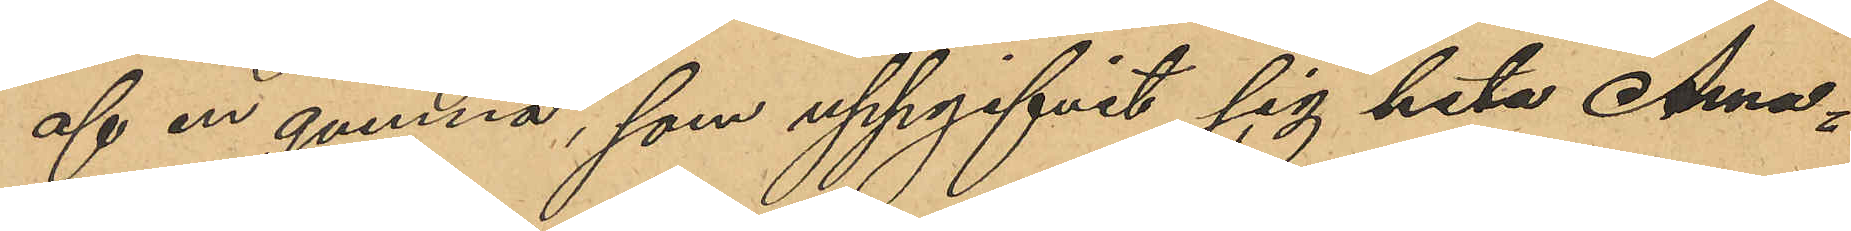af en qvinna, som uppgifvit sig heta Ama¬
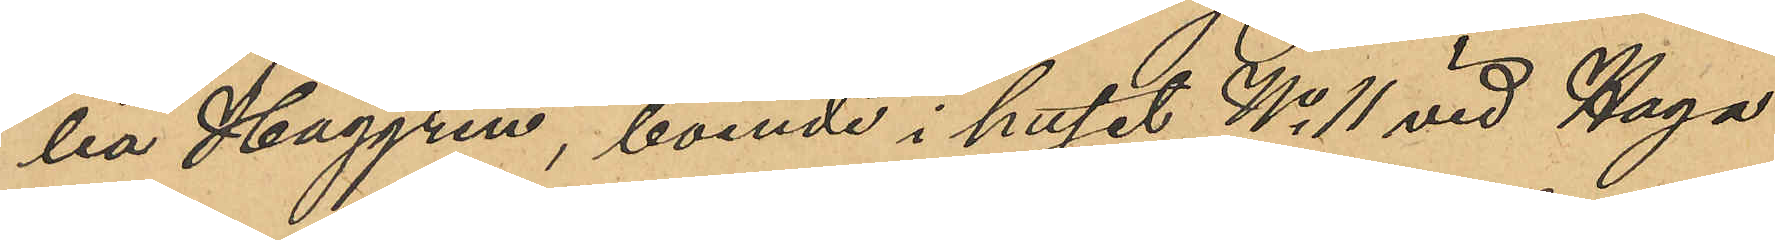lia Haggren, boende i huset No 11 vid Haga
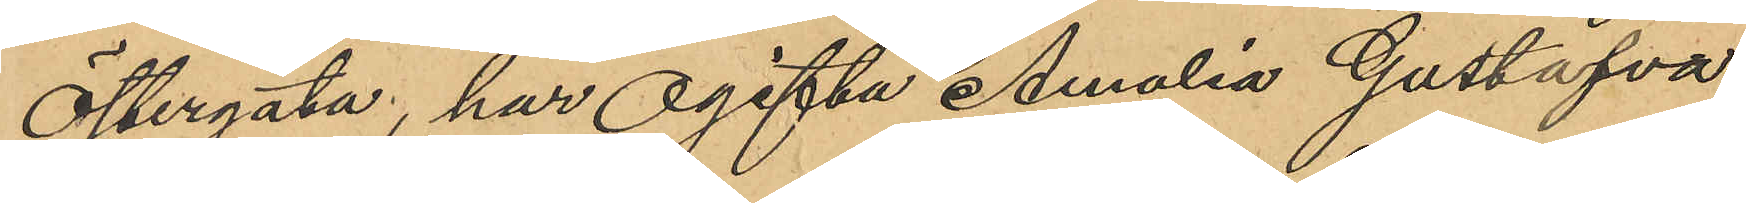Östergata, har ogifta Amalia Gustafva
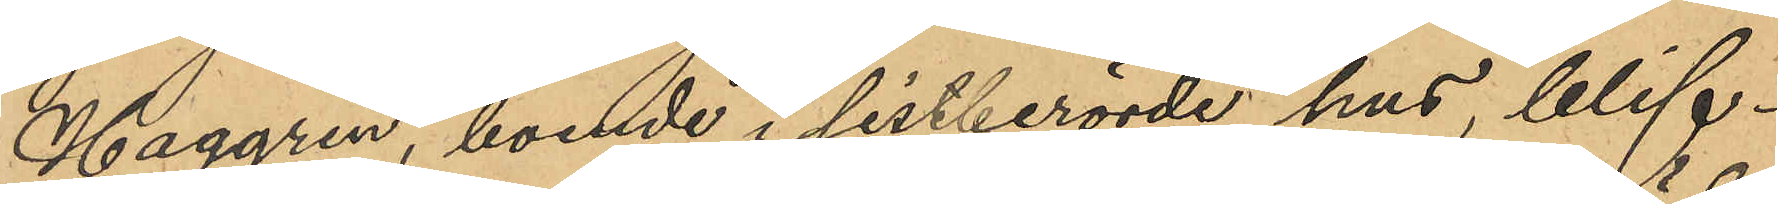Haggren, boende i sistberörde hus, blif¬
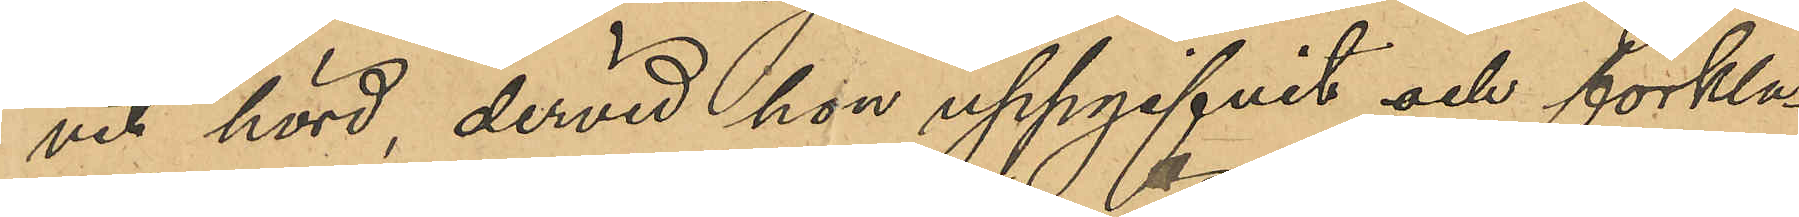vit hörd dervid hon uppgifvit och förkla¬
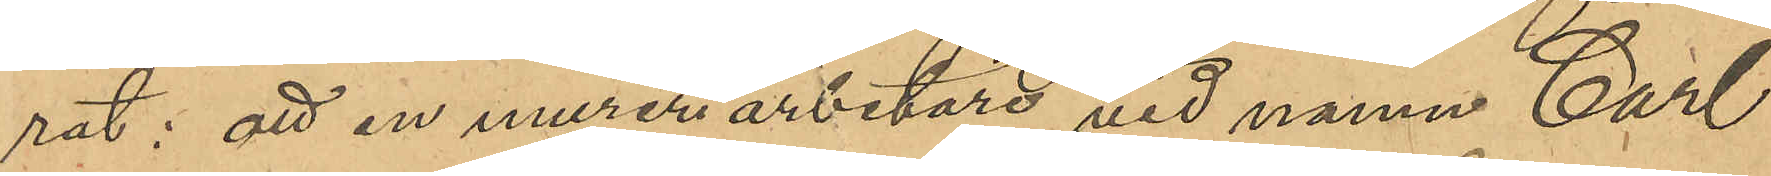rät: att en mureriarbetare vid namn Carl
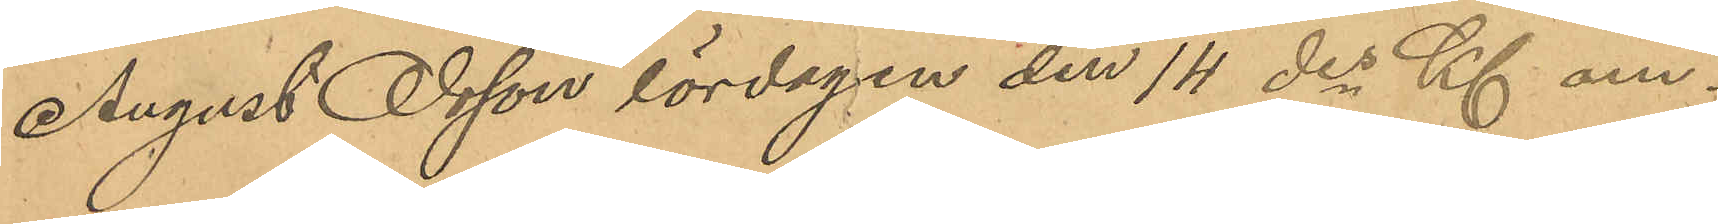August Olsson lördagen den 14 des Kl om¬
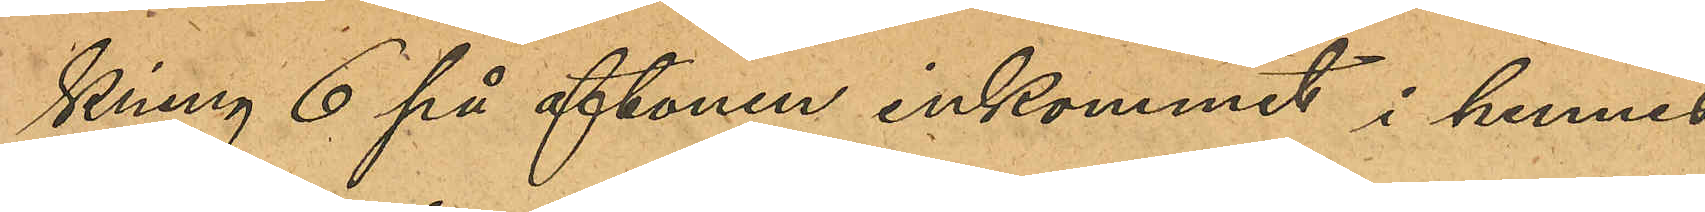kring 6 på aftonen inkommit i hennes
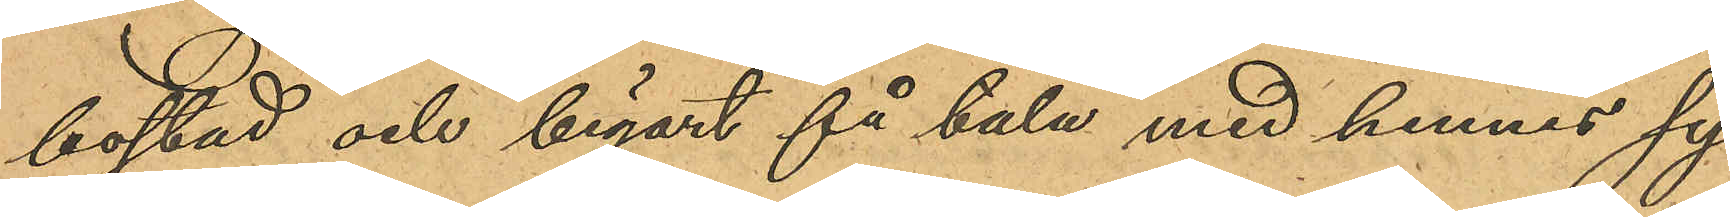bostad och begärt få tala med hennes sy¬
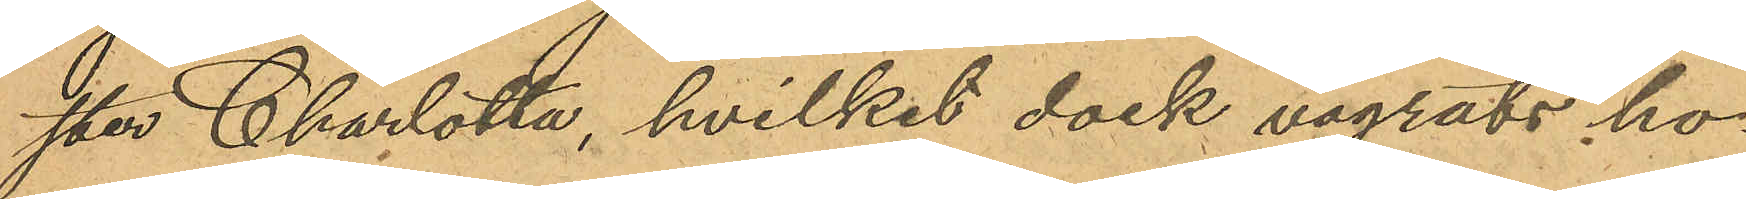ster Charlotta, hvilket dock vägrats ho¬
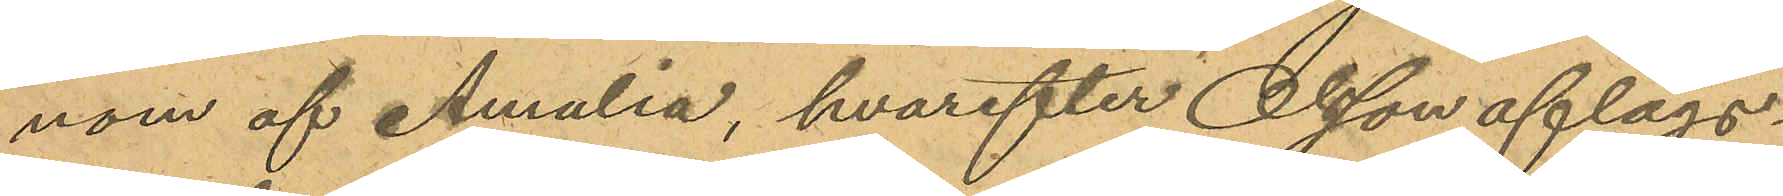nom af Amalia hvarefter Olson aflägs¬
